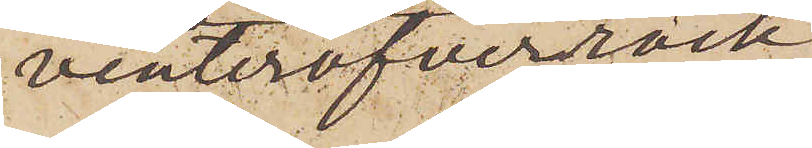vinteröfverrock
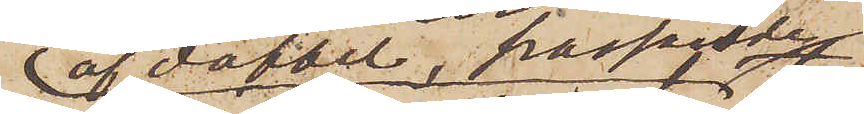af doffel, passande
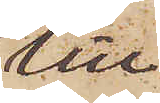till
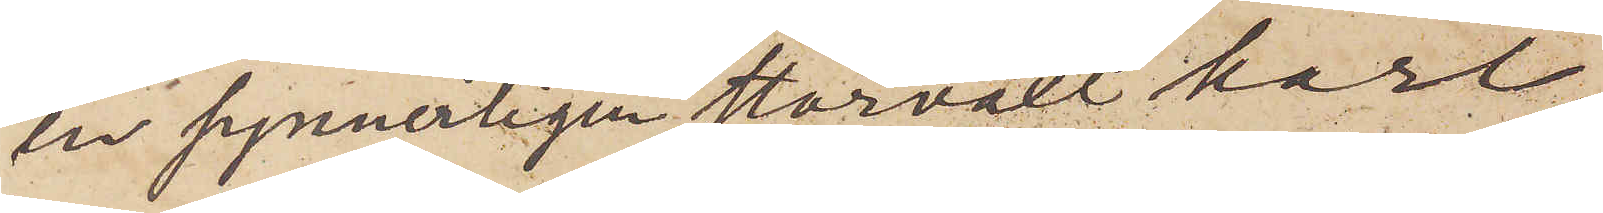en synnerligen storväxt karl,
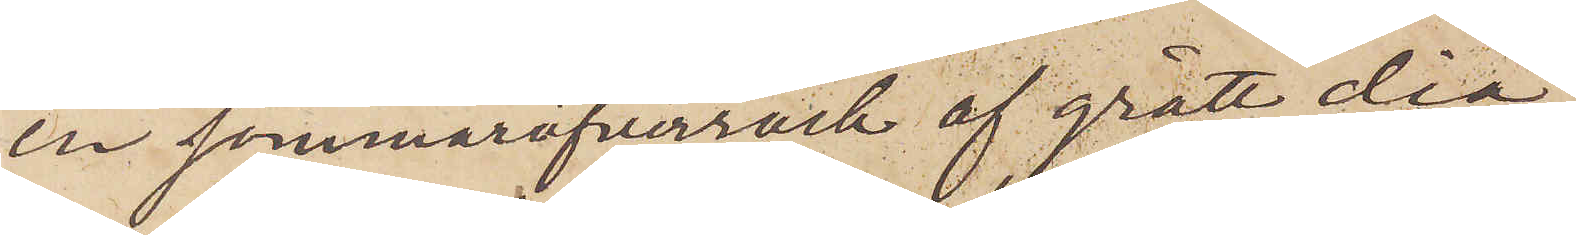en sommaröfverrock af grått dia¬
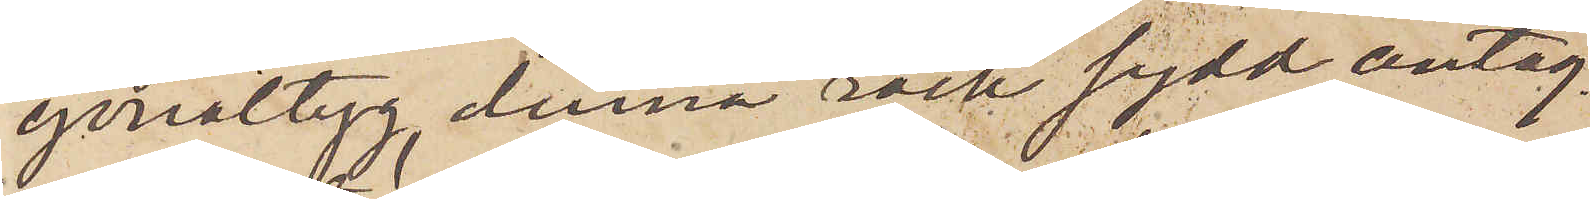gonalttyg, denna rock sydd antag¬
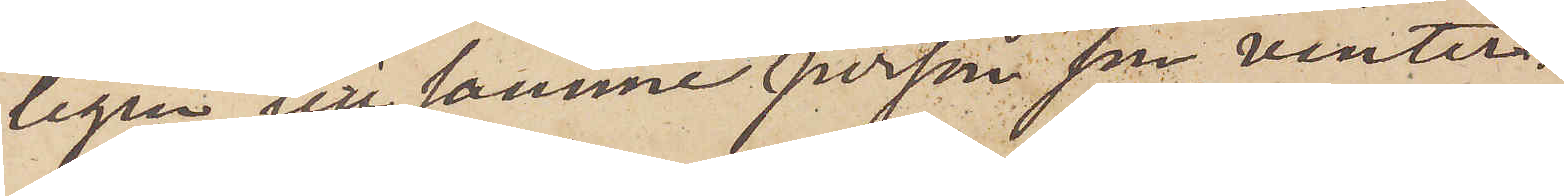ligen till samme person som vinter¬
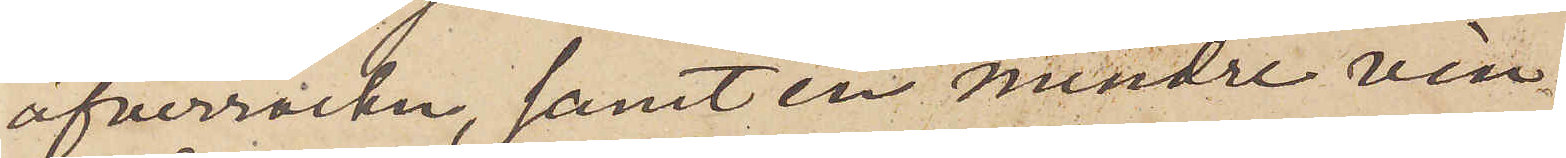öfverrocken, samt en mindre vin¬
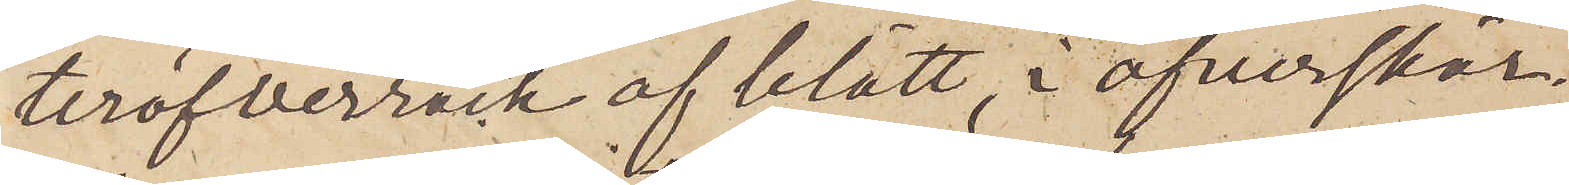teröfverrock af blått, i öfverskär¬
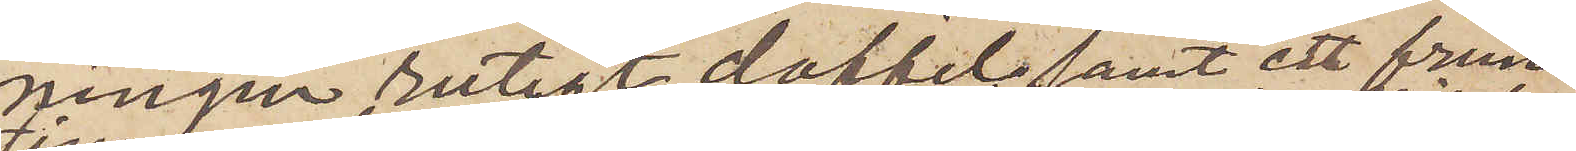ningen rutigt doffel samt ett frun¬
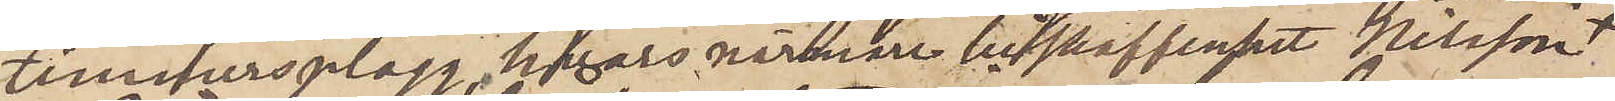timmersplagg, hvars närmare beskaffenhet Nilsson
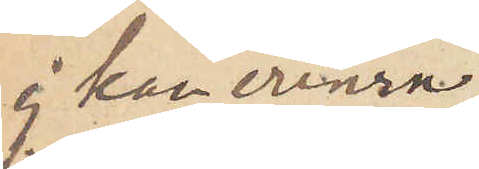ej kan erinra
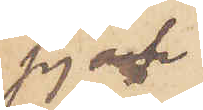sig och
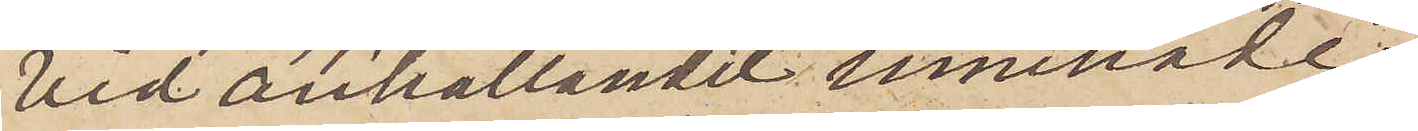vid anhållandet innehade
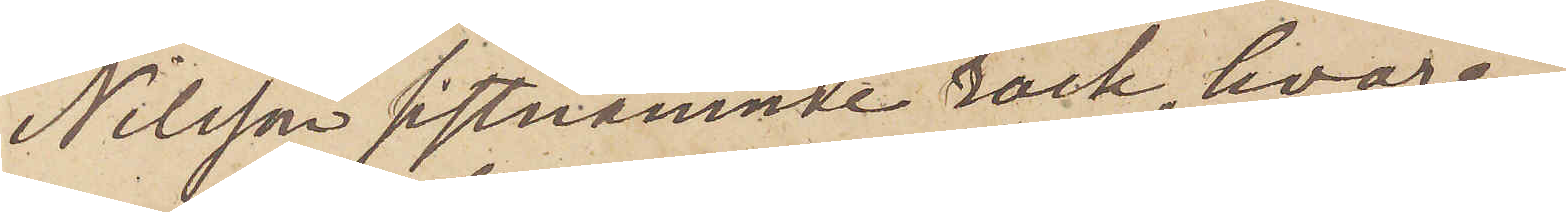Nilsson sistnämnde rock, hvare¬
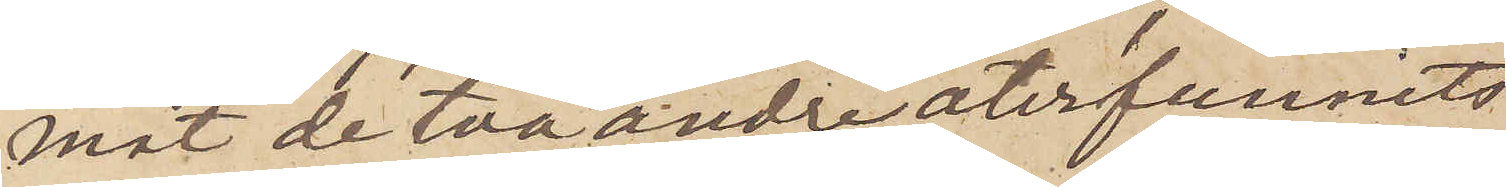mot de två andra återfunnits
